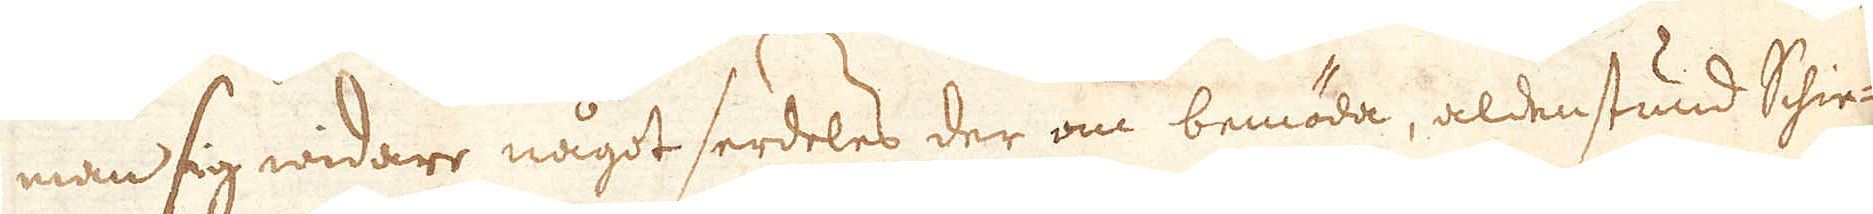man sig widare något serdeles der om bemöda, aldenstund Schie-
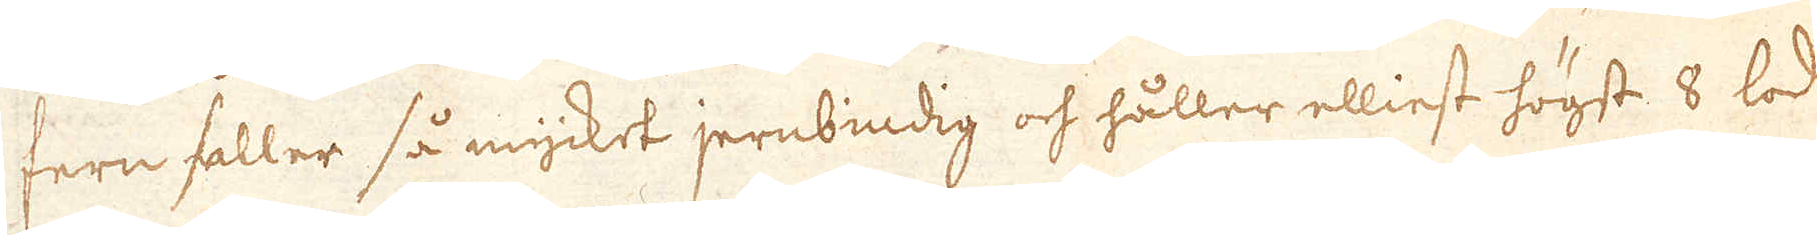fern faller så mycket jernbindig och håller elliest högst 8 lod
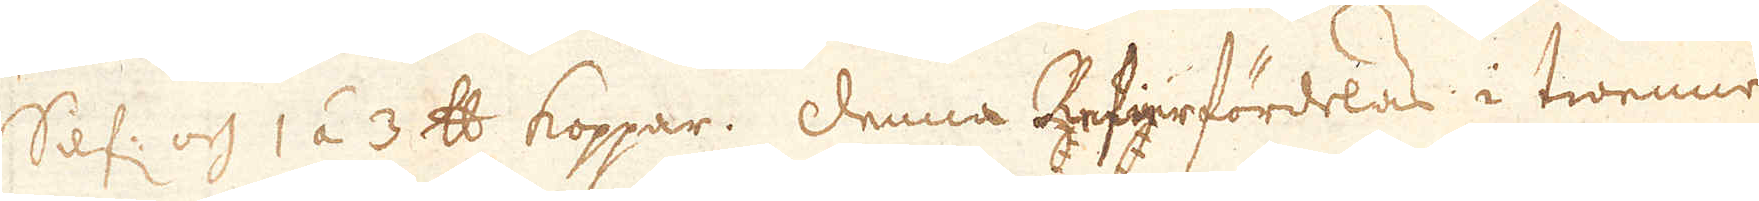Silf: och 1 á 3 skålpund koppar. Denna refier fördelas i twenne-
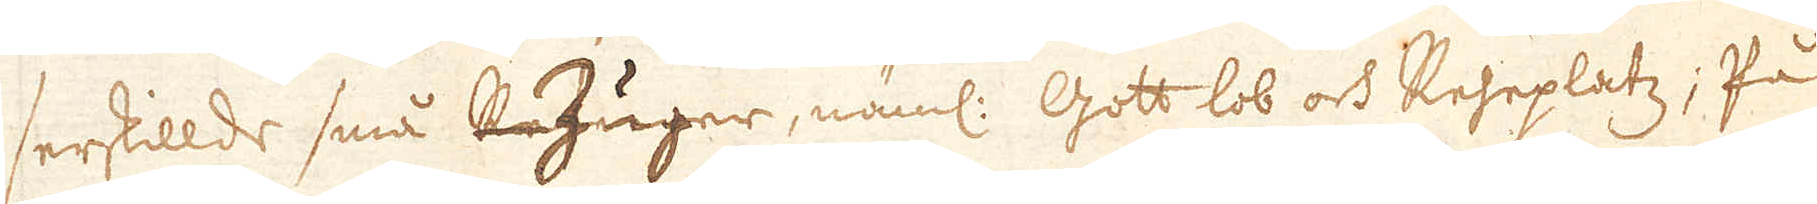serskillde små Zuger, näml: Gott lob och Reheplatz; På
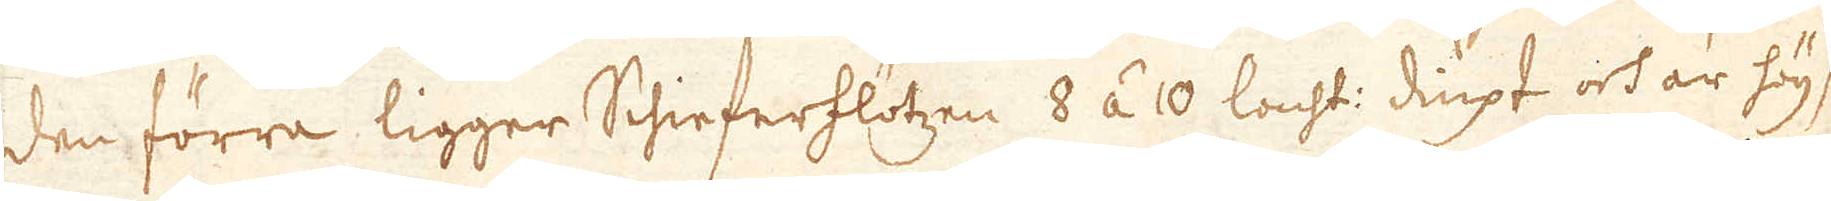den förra ligger Schieferflötzen 8 á 10 lacht: diupt och är högst
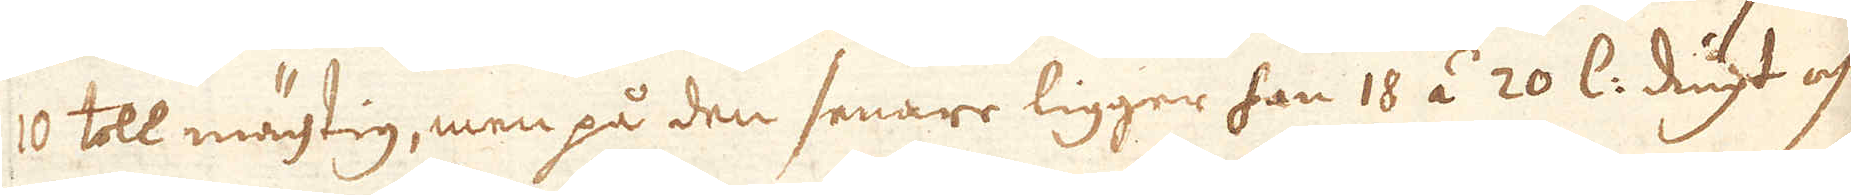10 toll mächtig, men på den senare ligger han 18 á 20 l: diupt och
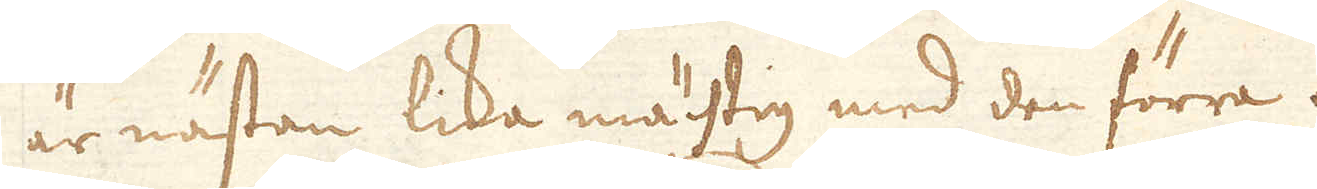är nästan lika mächtig med den förra.
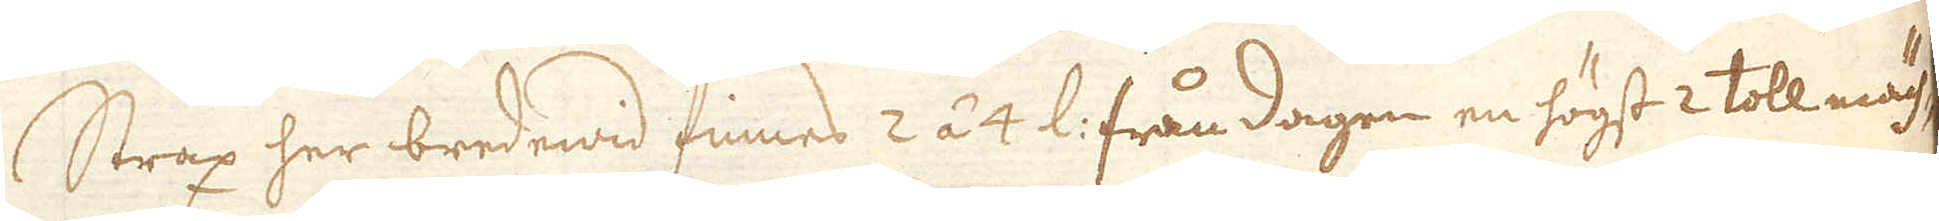Strax her bredewid finnes 2 á 4 l: från dagen en högst 2 toll mäch-
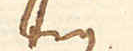tig
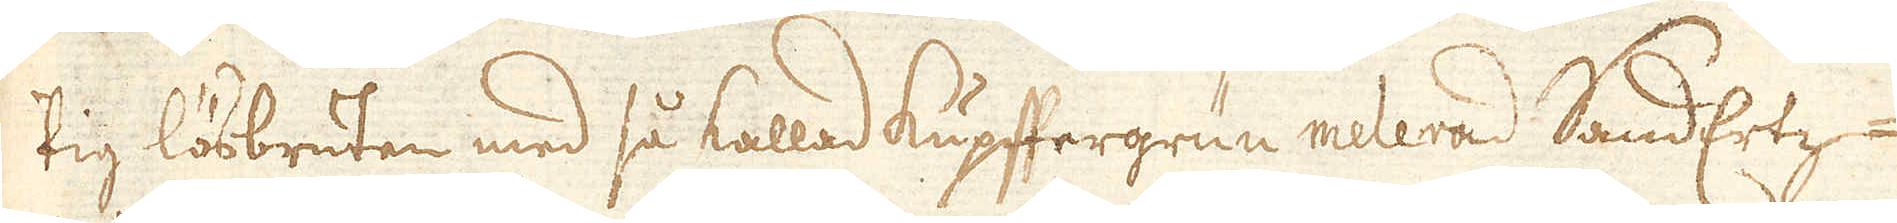tig lösbruten med så kallad kupftergrun melerad SandErtz-
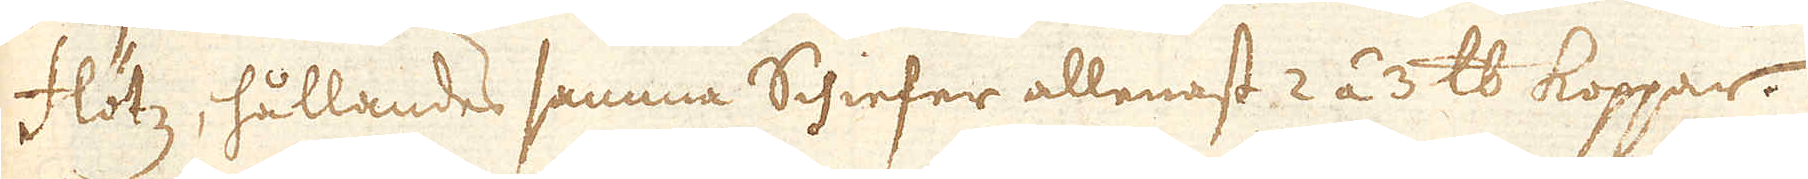flötz, hållandes samma Schiefer allenast 2 á 3 skålpund koppar.
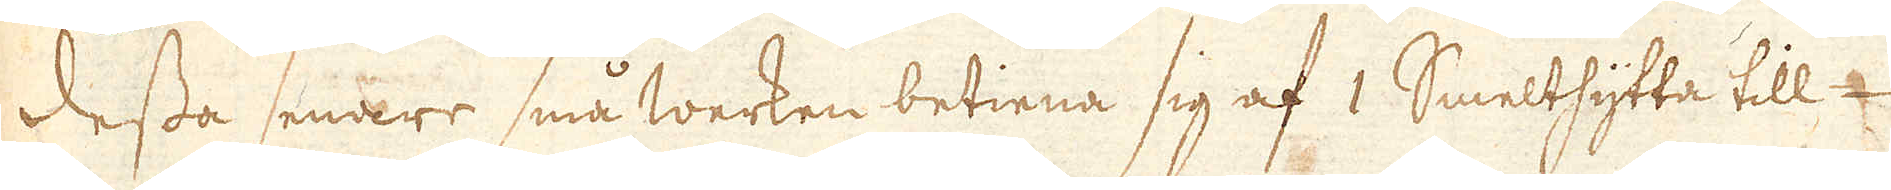Dessa senare små werken betiena sig af 1 Smelthytta till-
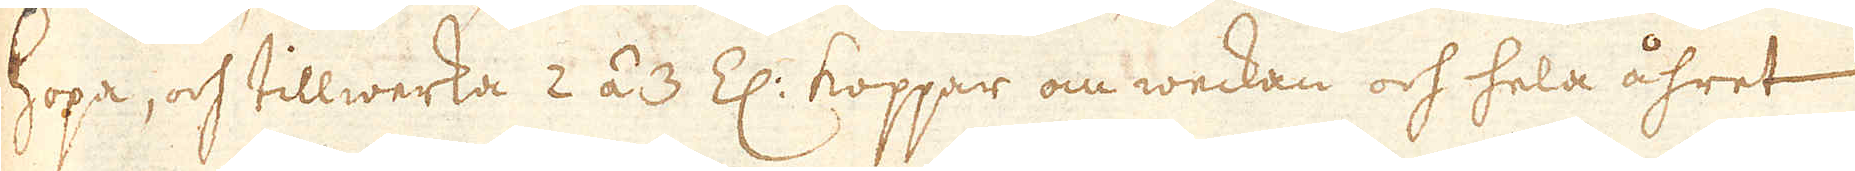hopa, och tillwerka 2 á 3 Z: koppar om weckan och hela åhret
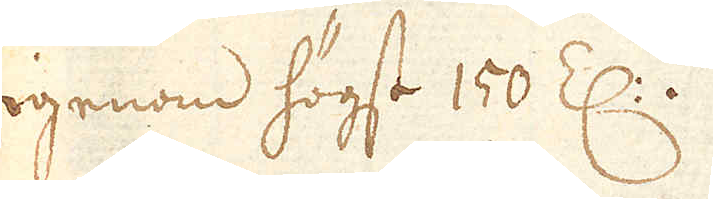igenom högst 150 Z:.
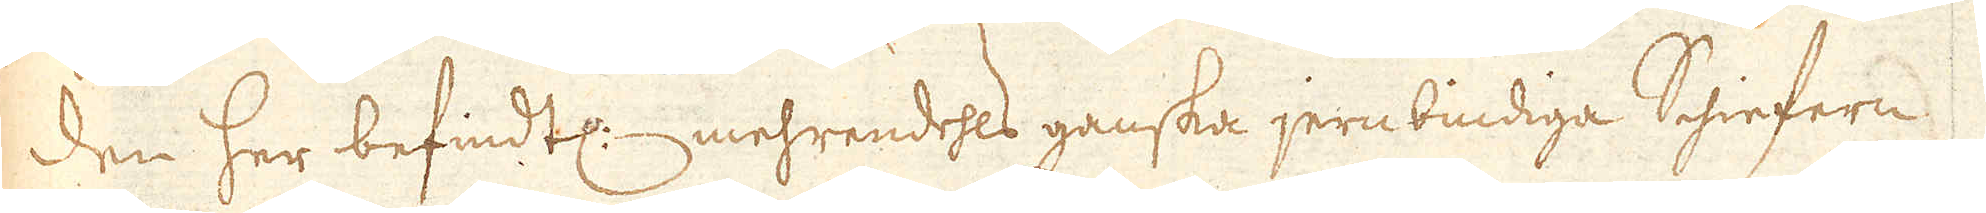Den her befindtl: mehrendehls ganska jern bindiga Schiefern,
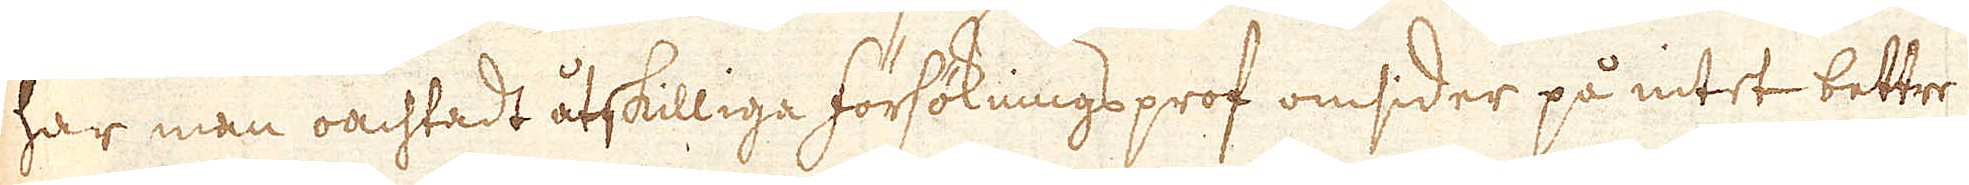har man oachtadt åtskilliga försöknings prof omsider på intet bettre
